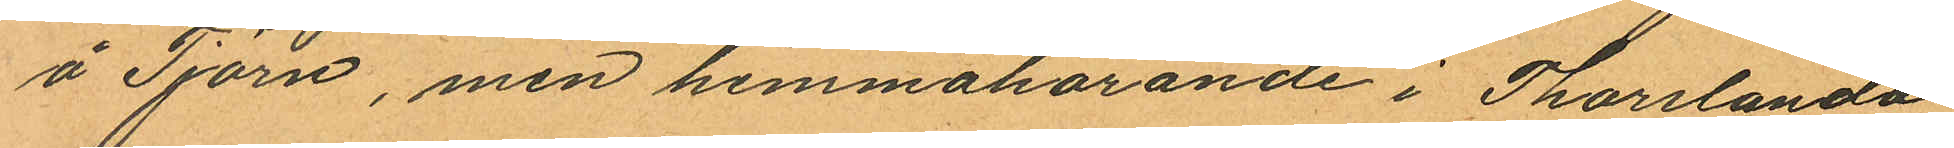å Tjörn, men hemmahörande i Thorslanda
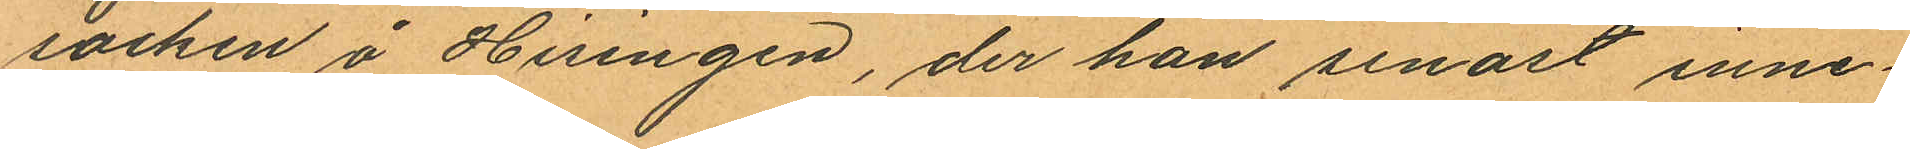socken å Hisingen, der han senast inne¬
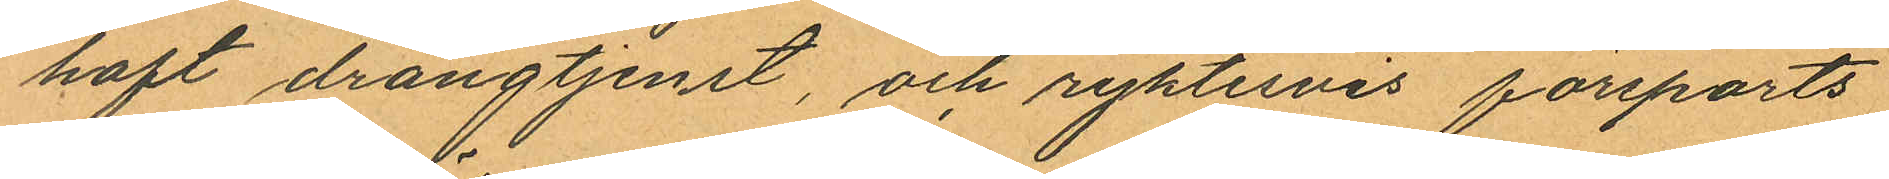haft drängtjenst, och ryktesvis försports
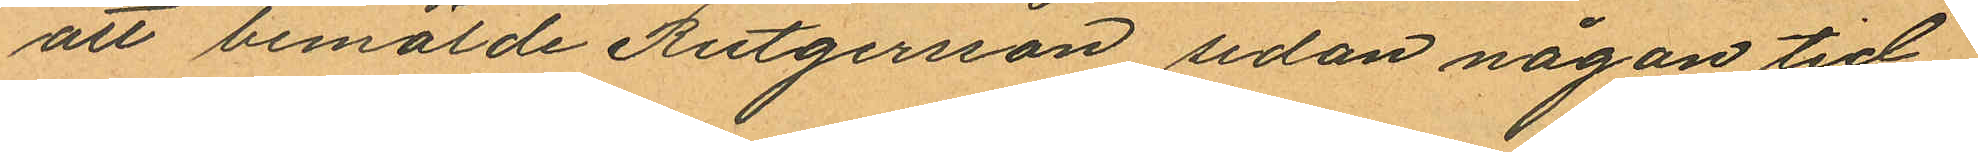att bemälde Rutgersson sedan någon tid
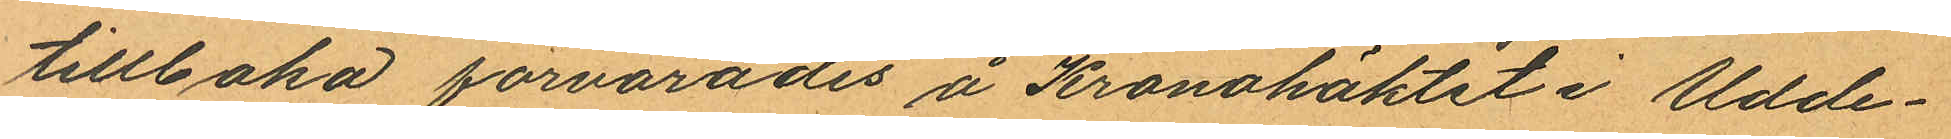tillbaka förvarades å Kronohäktet i Udde¬
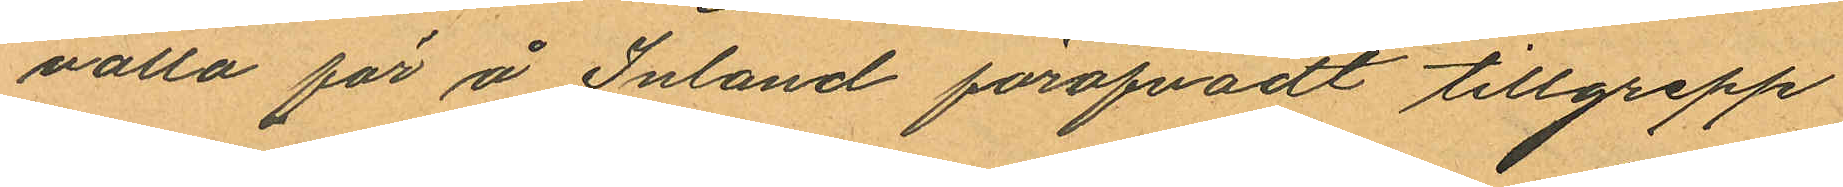valla för å Inland föröfvadt tillgrepp
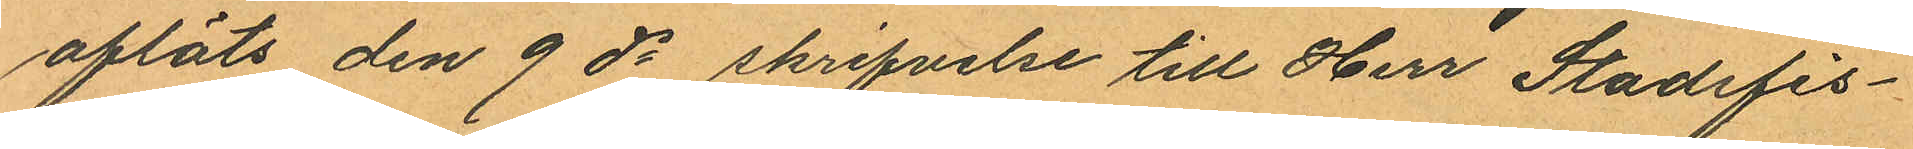afläts den 9 ds skrifvelse till Herr Stadsfis¬
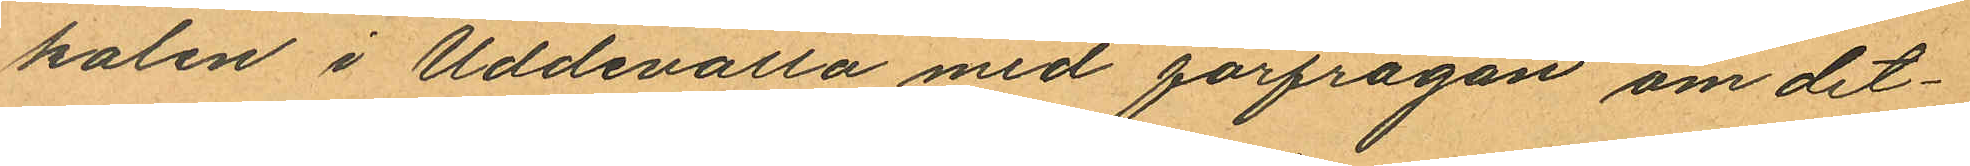kalen i Uddevalla med förfrågan om det¬
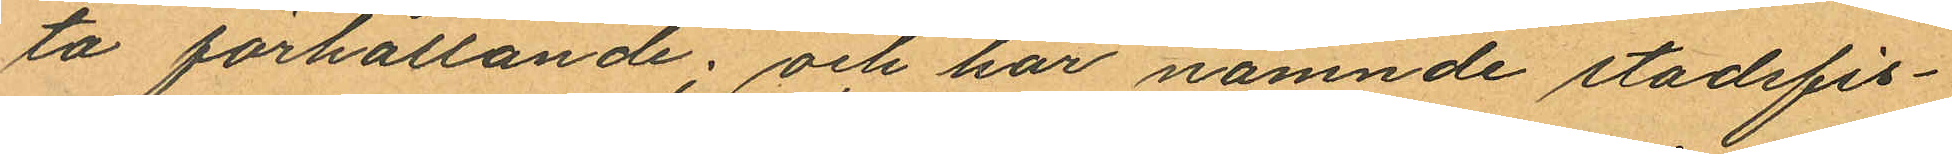ta förhållande; och har nämnde stadsfis¬
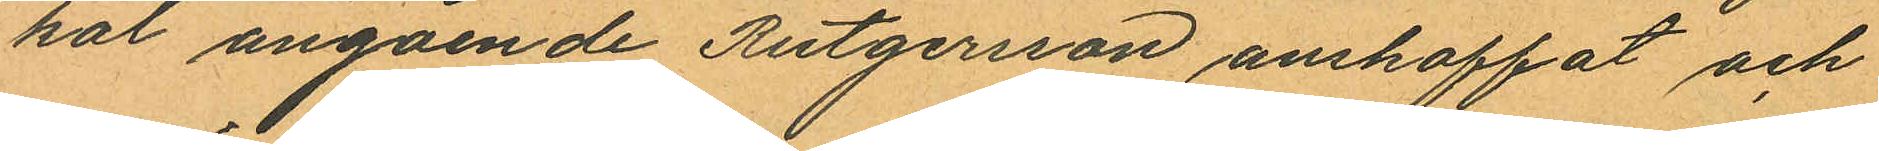kat angående Rutgersson anskaffat och
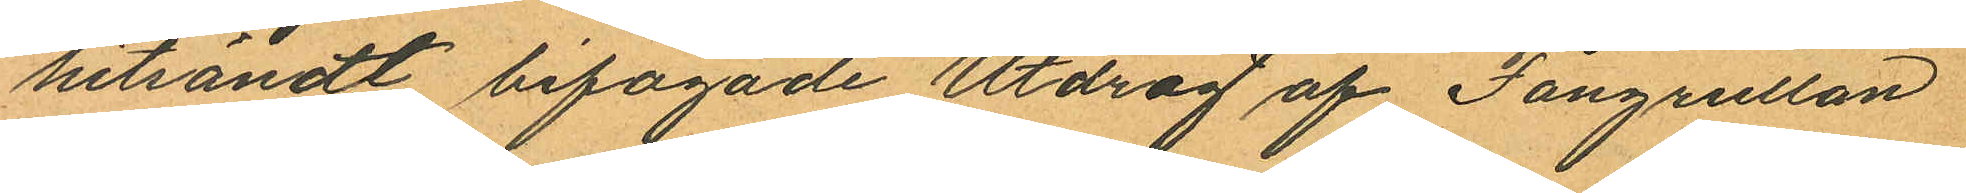hitsändt bifogade "Utdrag af Fångrullan
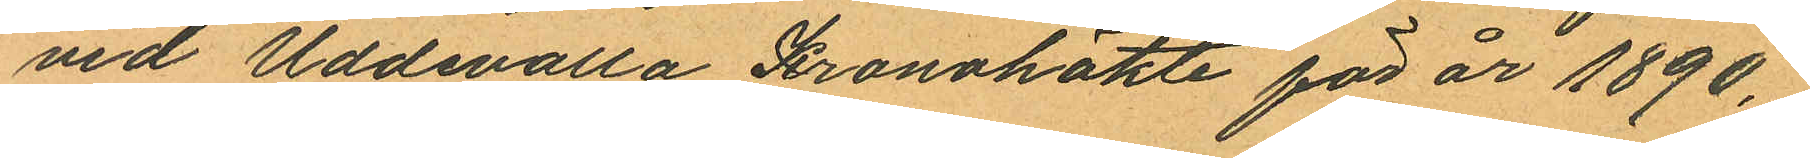vid Uddevalla Kronohäkte för år 1890,"
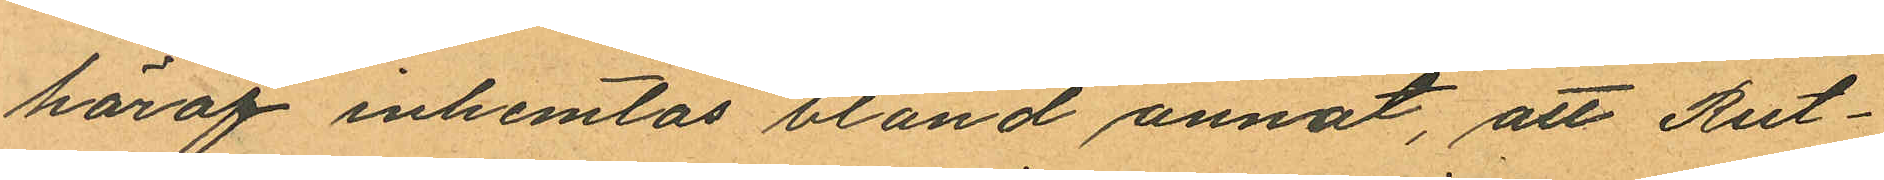häraf inhemtas bland annat, att Rut¬
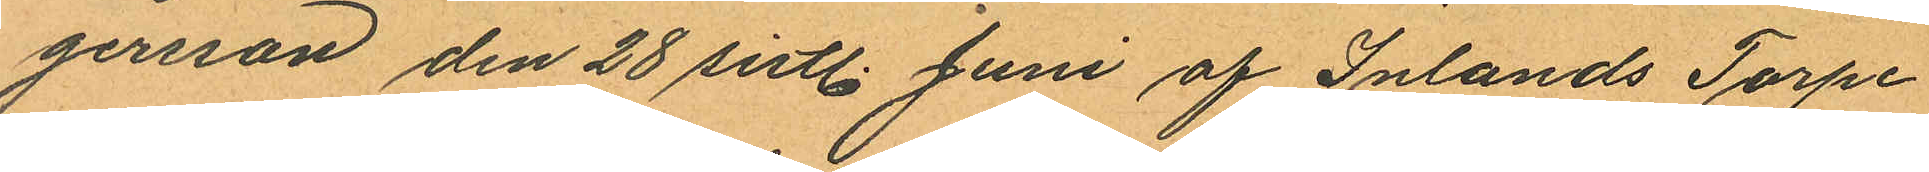gernan den 28 sistl. Juni af Inlands Torpe
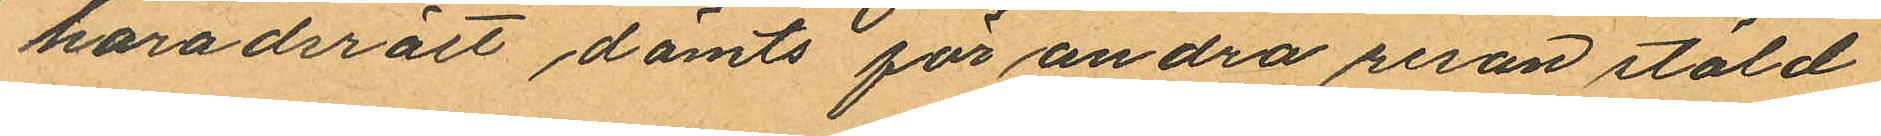häradsrätt dömts för andra resan stöld
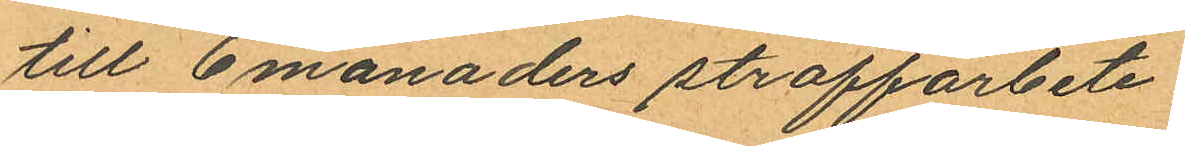till 6 månaders straffarbete.
